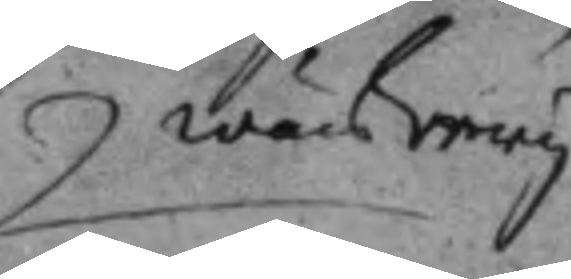wärkery
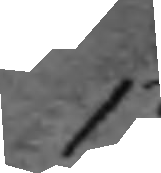13.
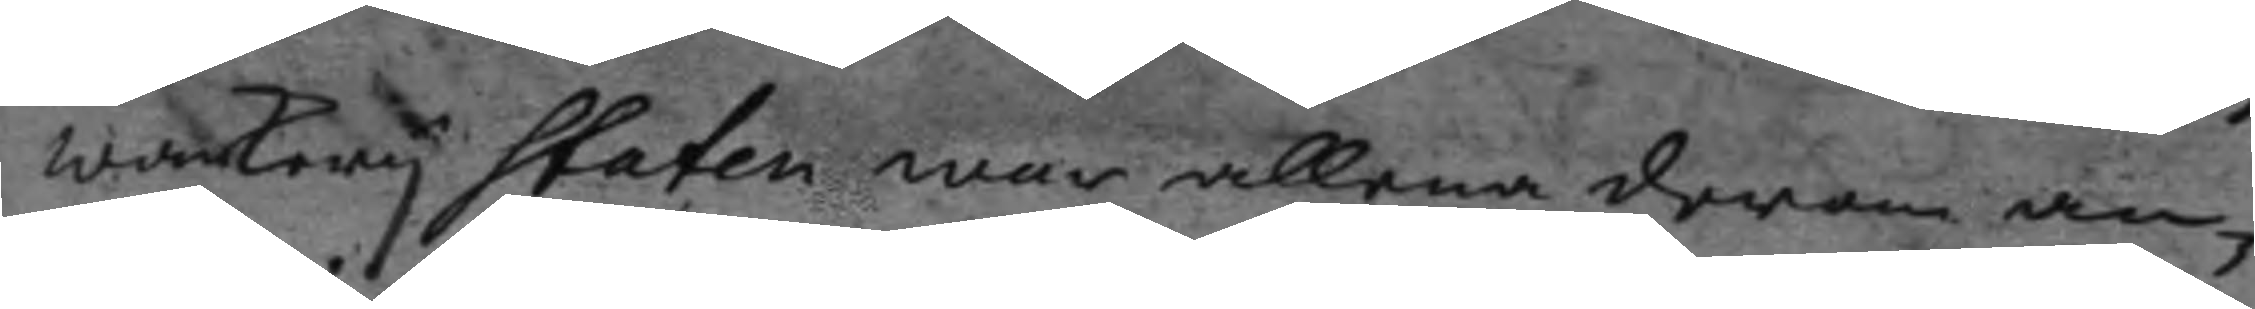wärkeryStaten war allena derom an¬
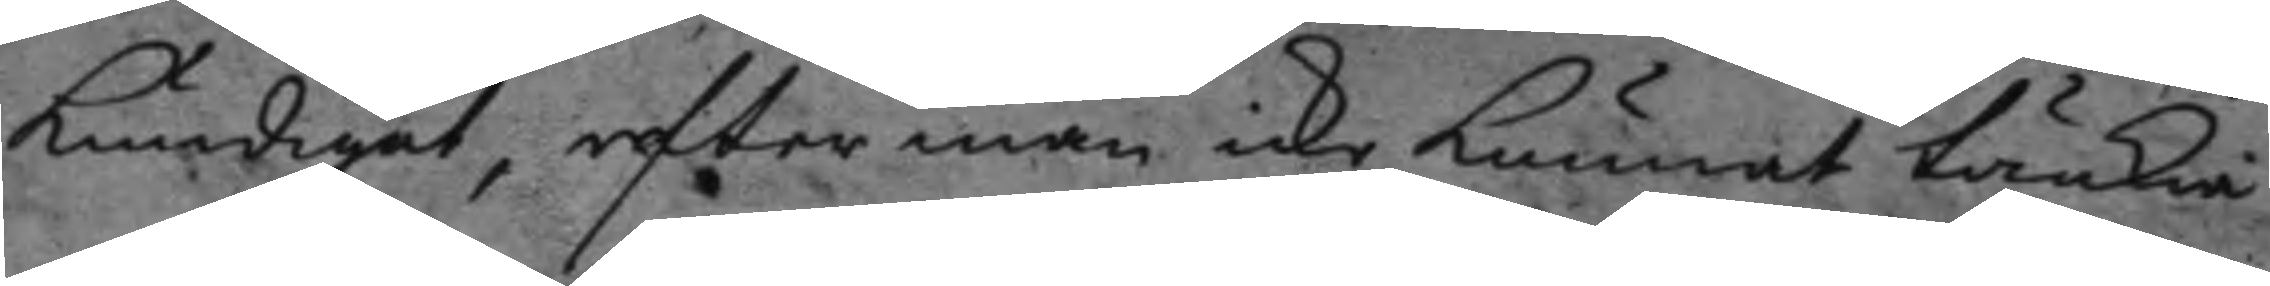kundigat, efter man icke kunnat tänkia
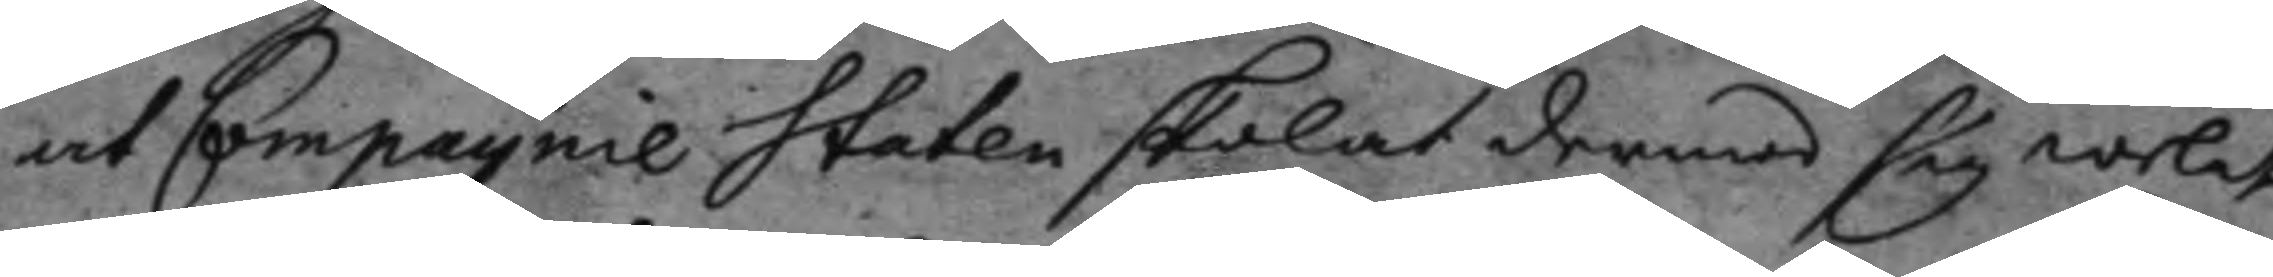at Compagnie Staten skolat dermed sig welat
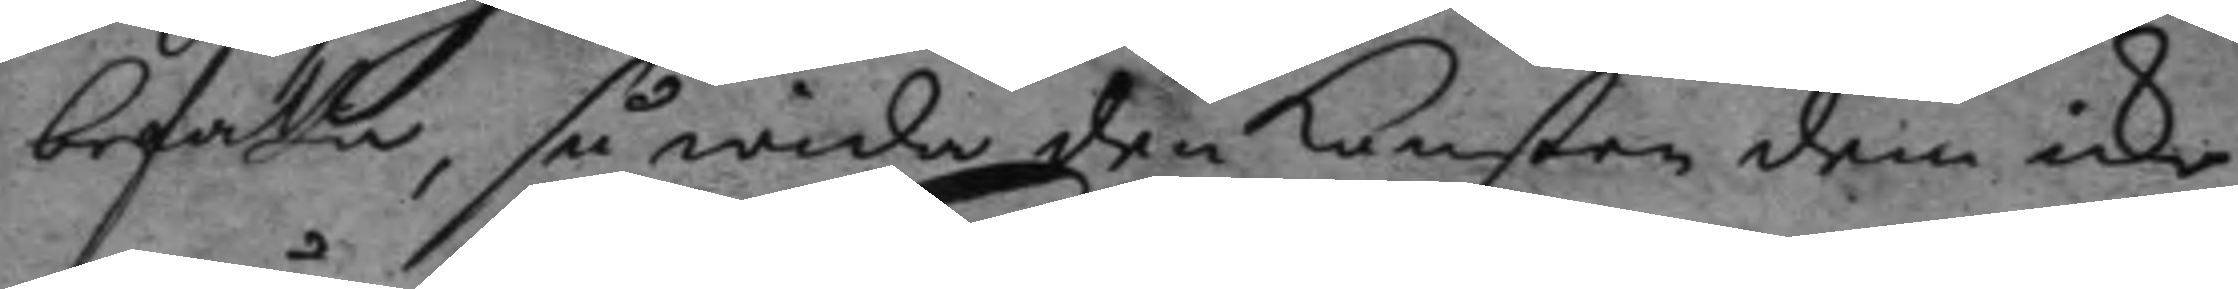befatta, så wida den konsten dem icke
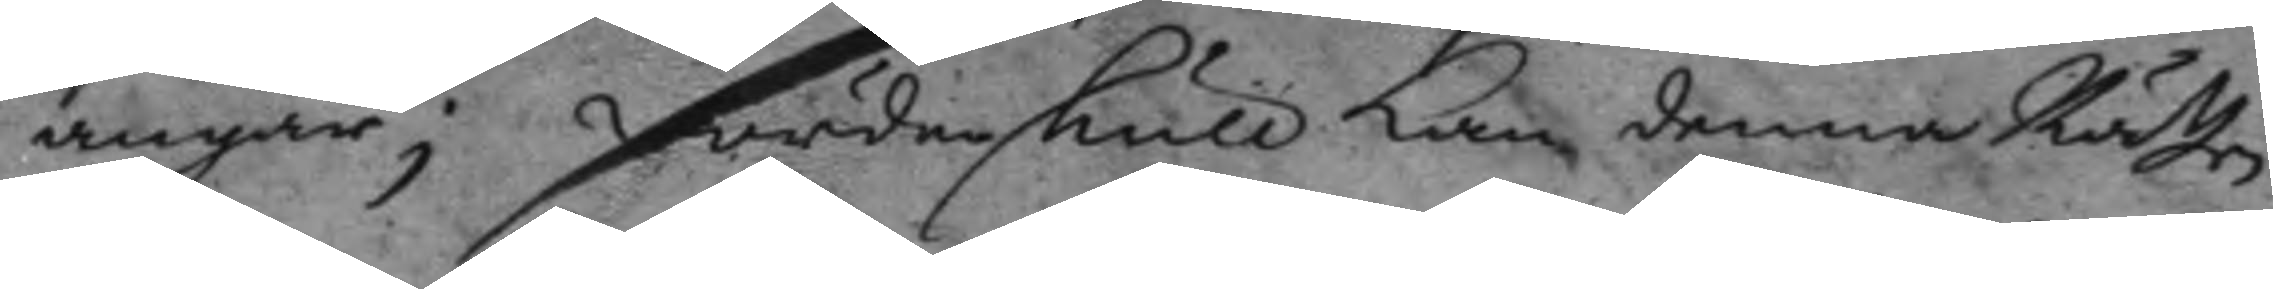angår; fördenskull kan denna Rätten
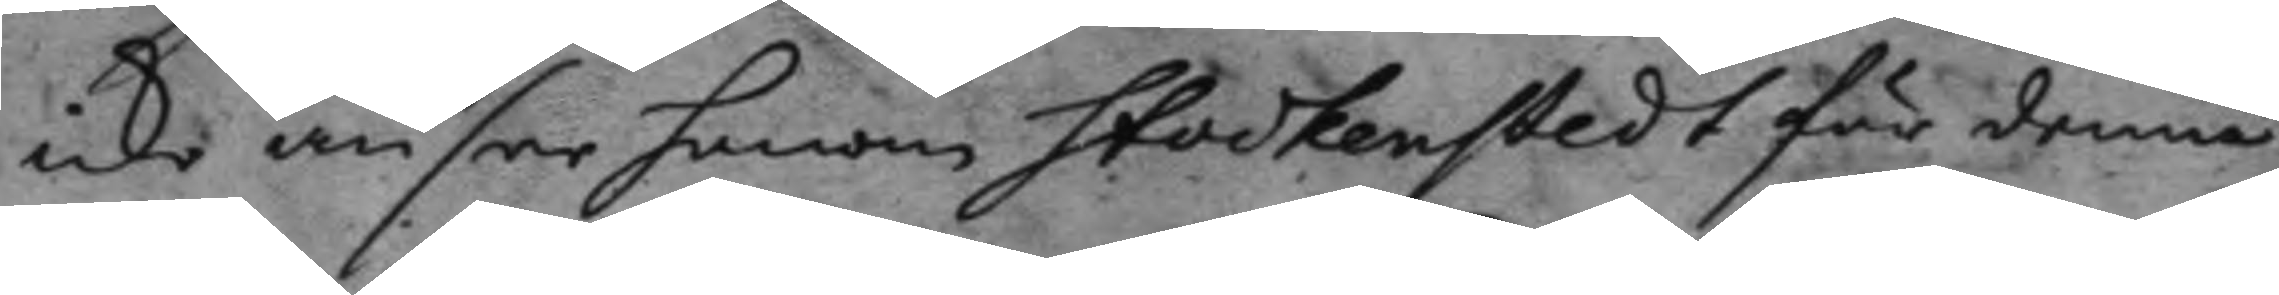icke ansee honom Stockenstedt för denne
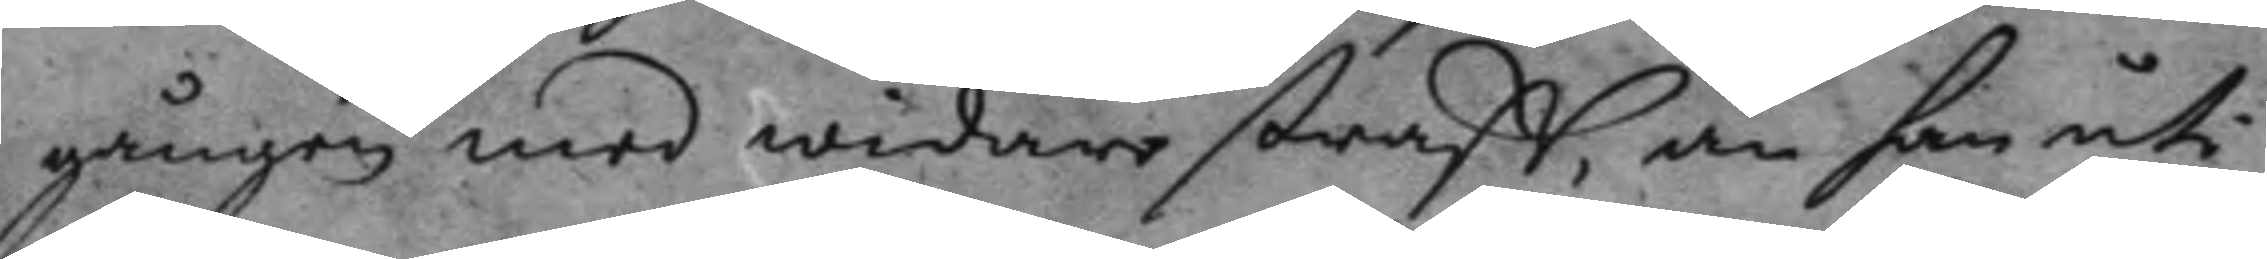gången med widare straff, än han uti
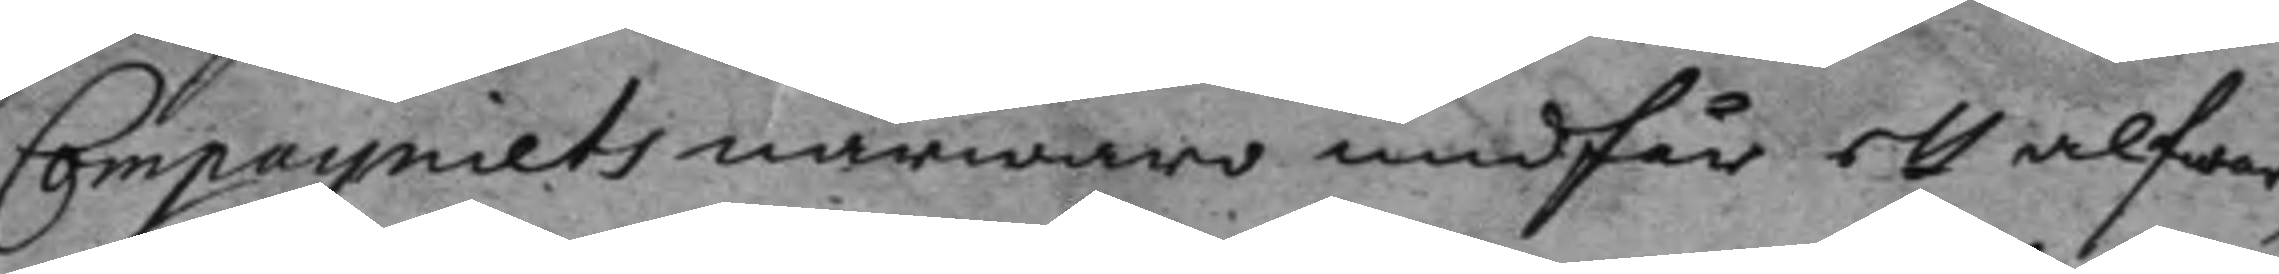Compagniets närwaro undfår ett alfwar¬
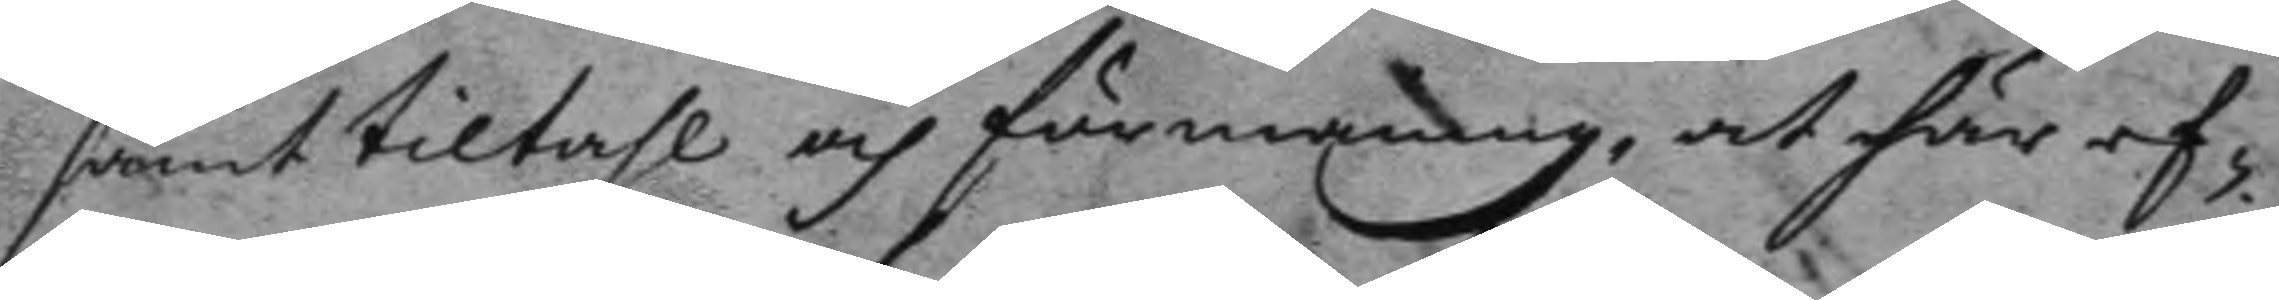samt tiltahl och förmaning, at här ef¬
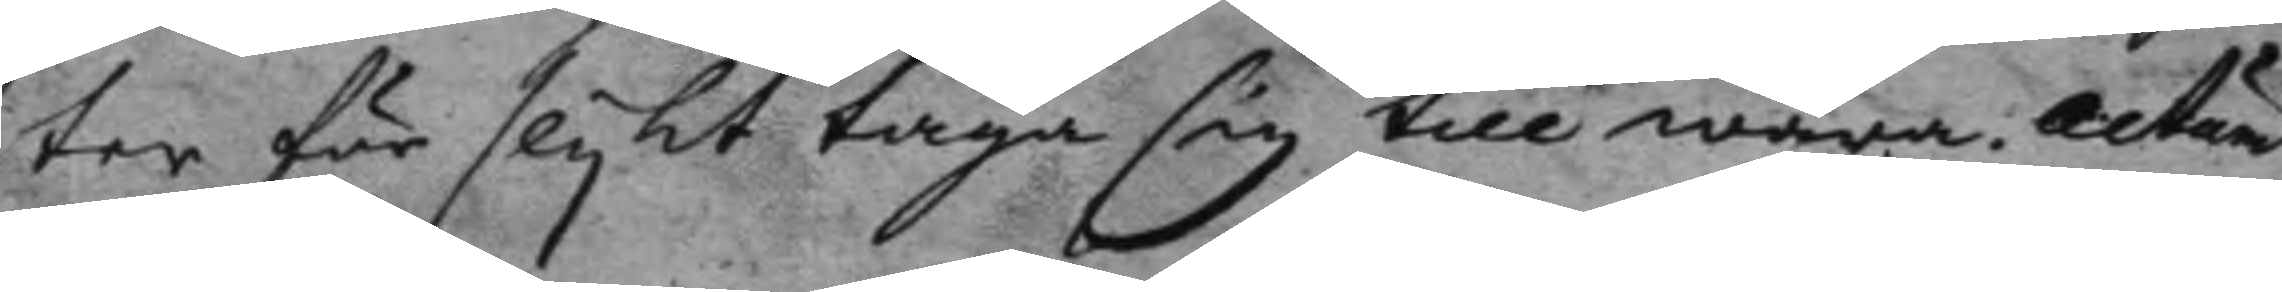ter för slykt taga sig till wara. actum
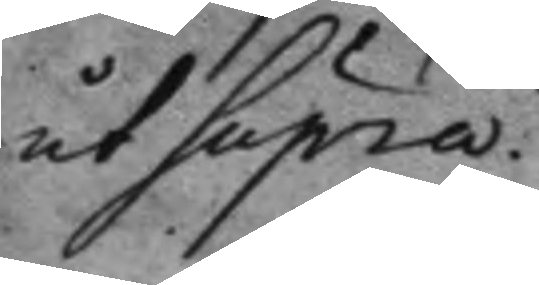ut Supra.
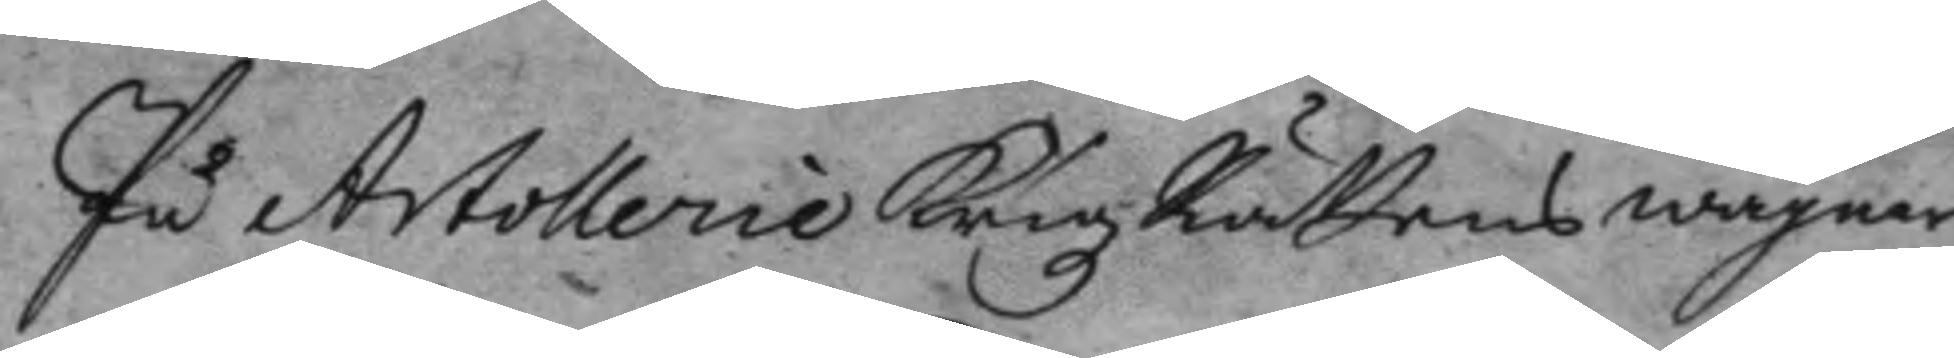På Artollerie Krigz Rättens wägnar
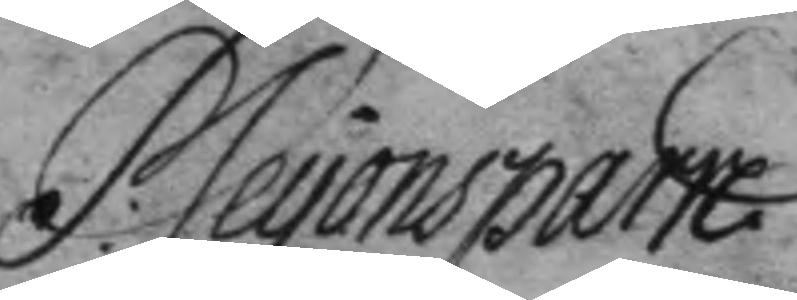P: Leyonsparre
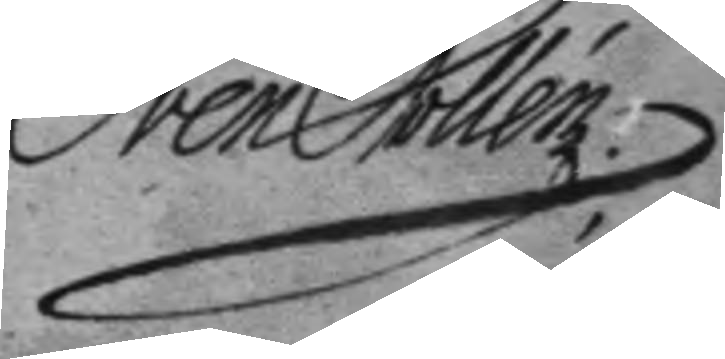Sven Collén
